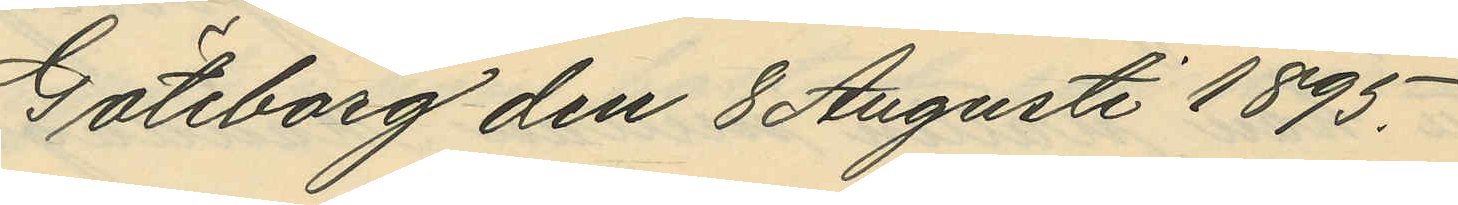Göteborg den 8 Augusti 1895.
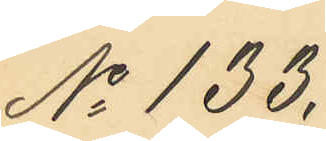No 133.
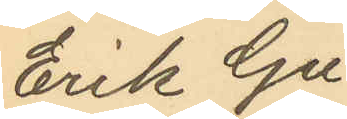Erik Gu¬
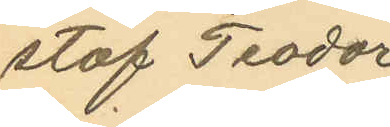staf Teodor
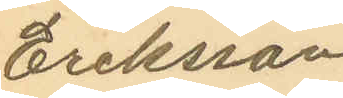Eriksson
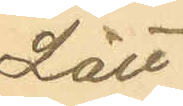Lätt
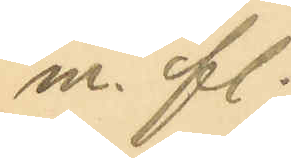m. fl.
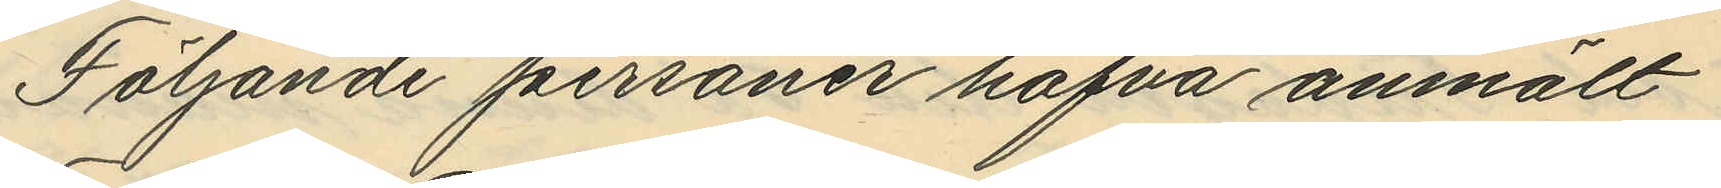Följande personer hafva anmält
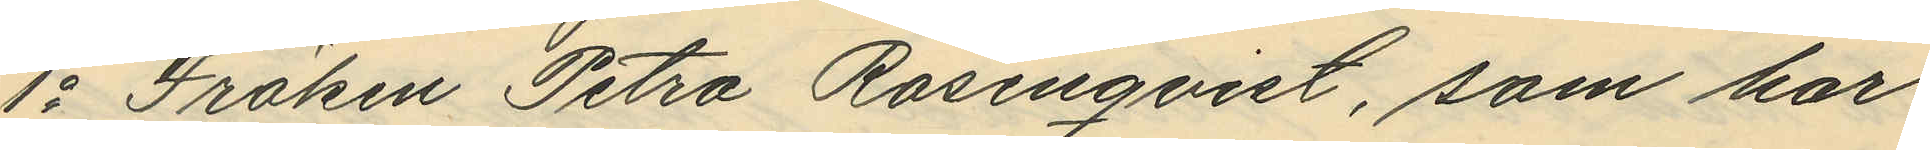1o Fröken Petra Rosenqvist, som har
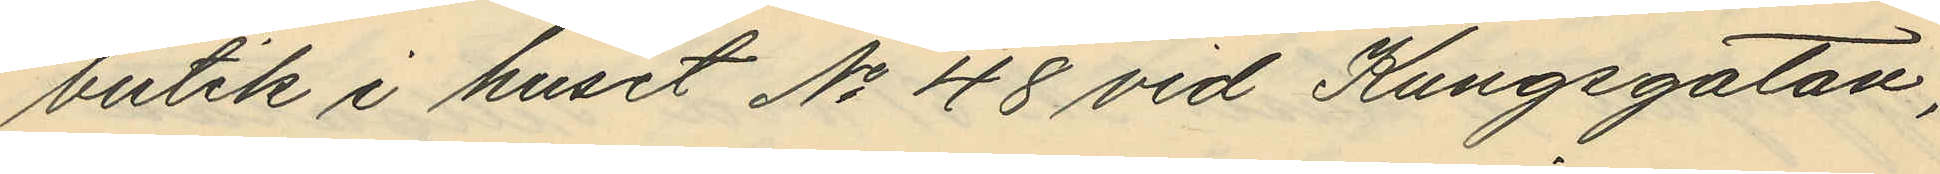butik i huset No 48 vid Kungsgatan,
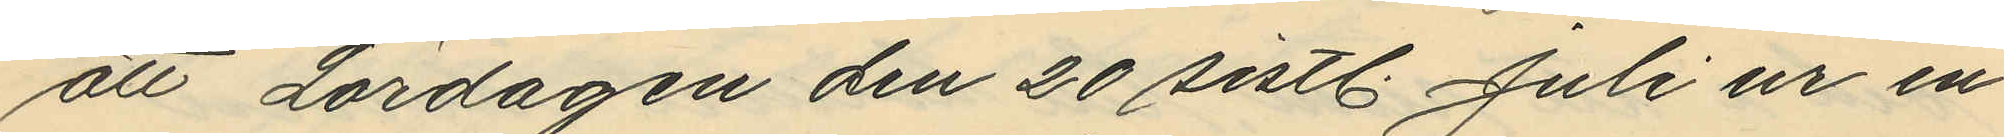att Lördagen den 20 sistl. Juli ur en
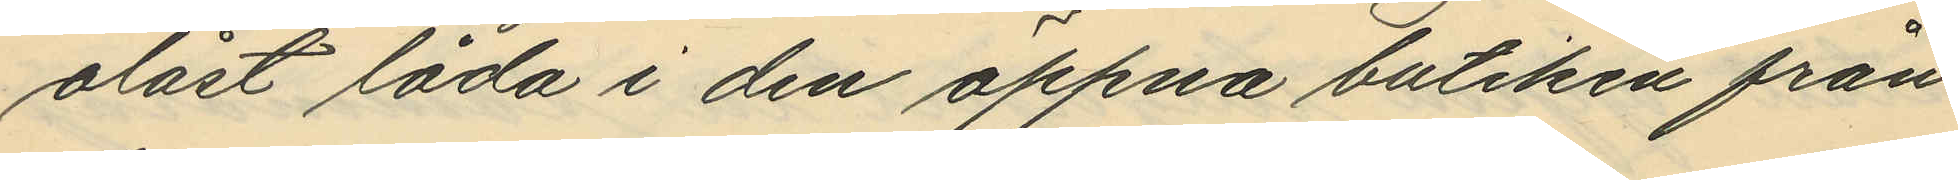olåst låda i den öppna butiken från
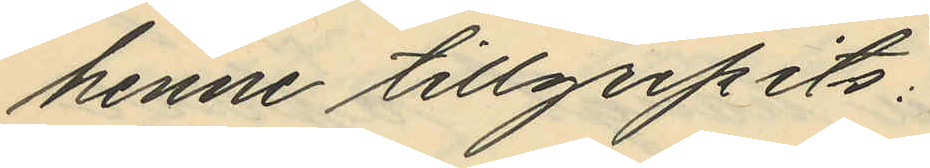henne tillgripits:
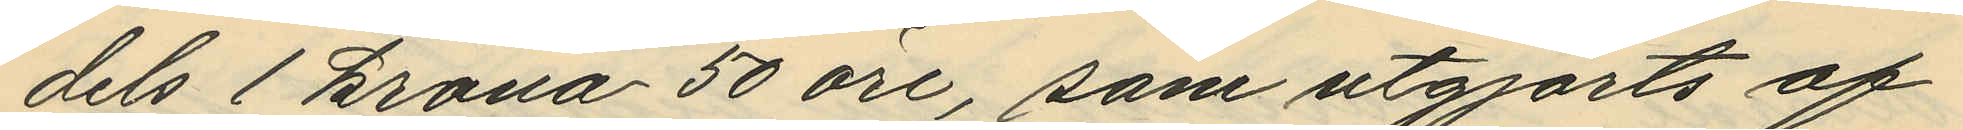dels 1 krona 50 öre, som utgjorts af
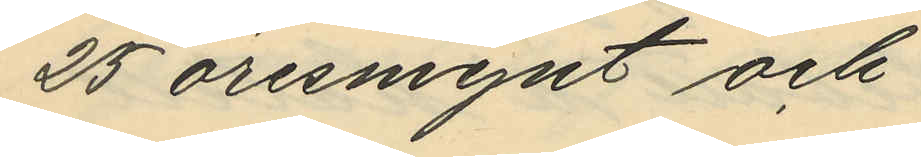25 öresmynt och
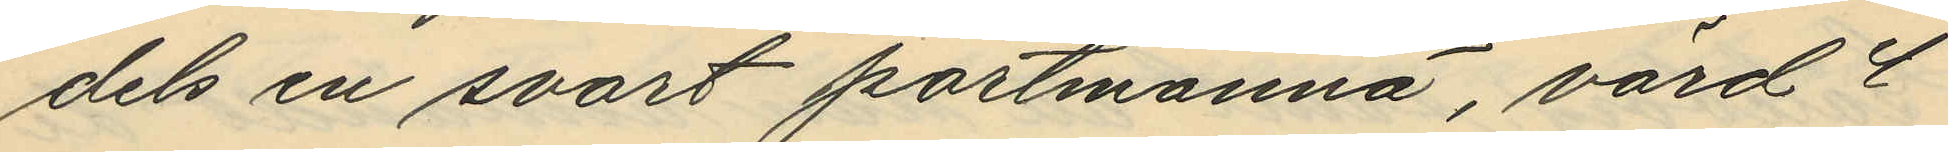dels en svart portmonnä, värd 4
